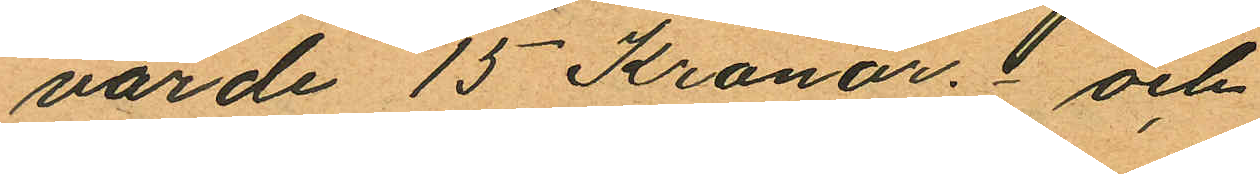värde 15 Kronor. och
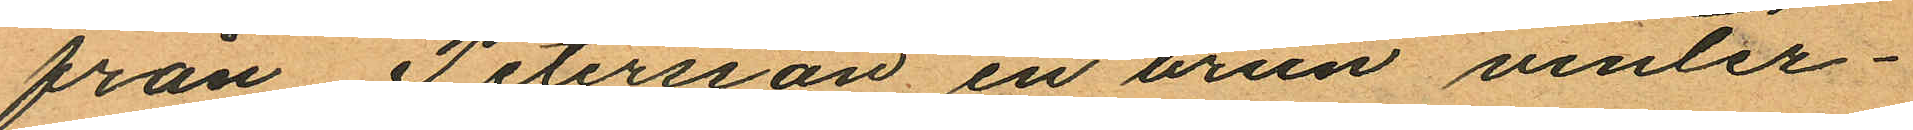från Petersson en brun vinter¬
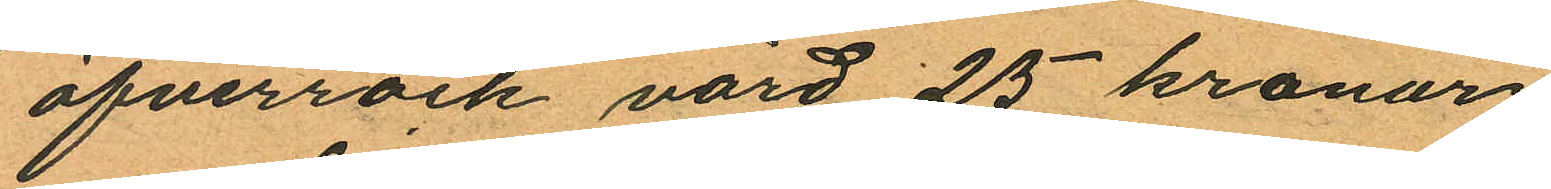öfverrock värd 25 kronor
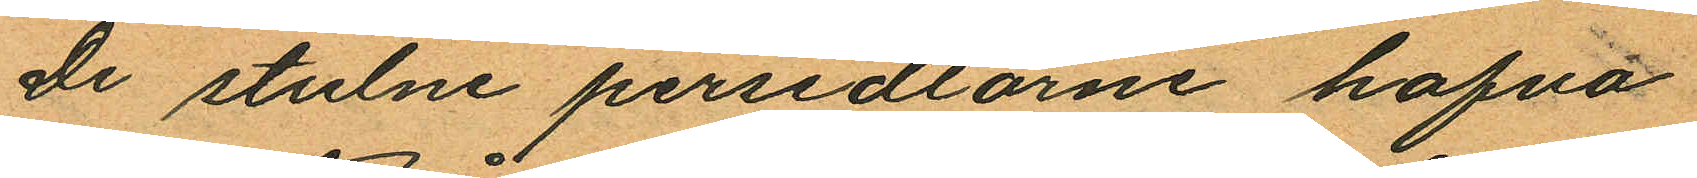De stulne persedlarne hafva
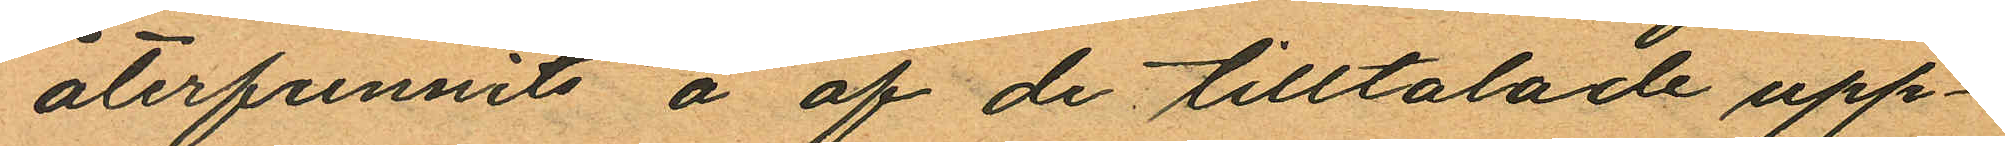återfunnits å af de tilltalade upp¬
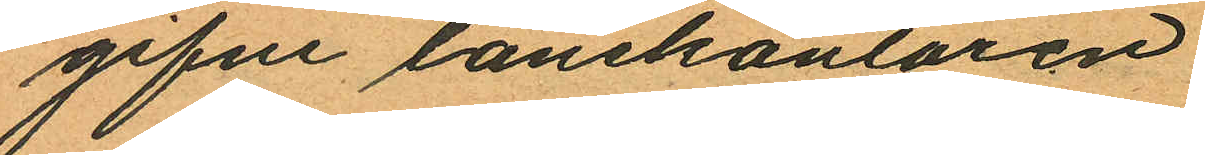gifne lånekontoren
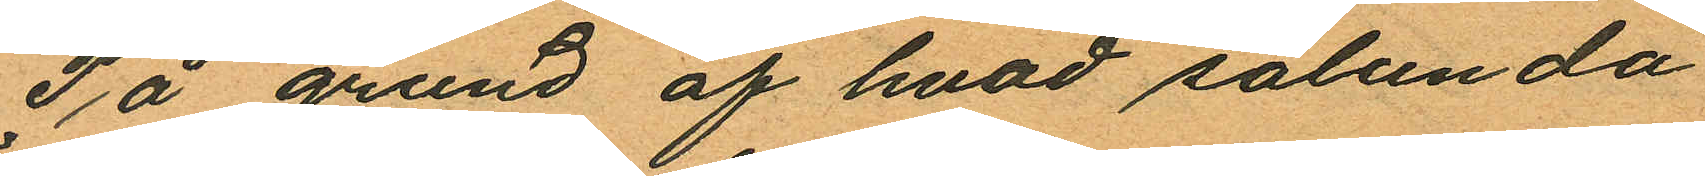På grund af hvad sålunda
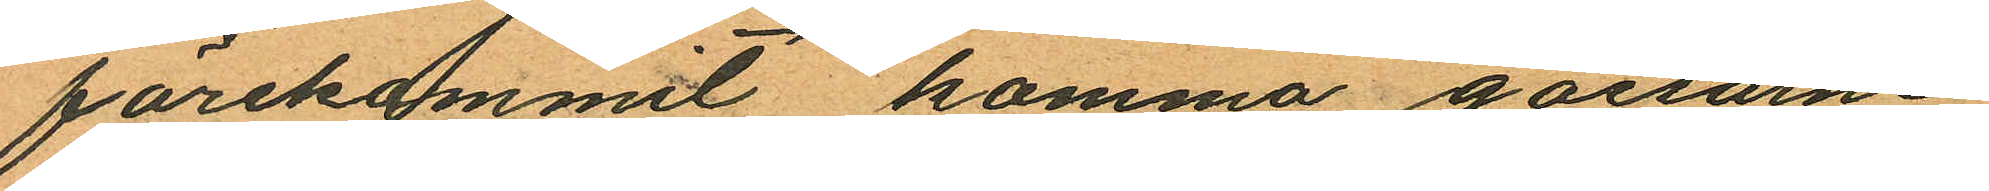förekommit komma gossarne
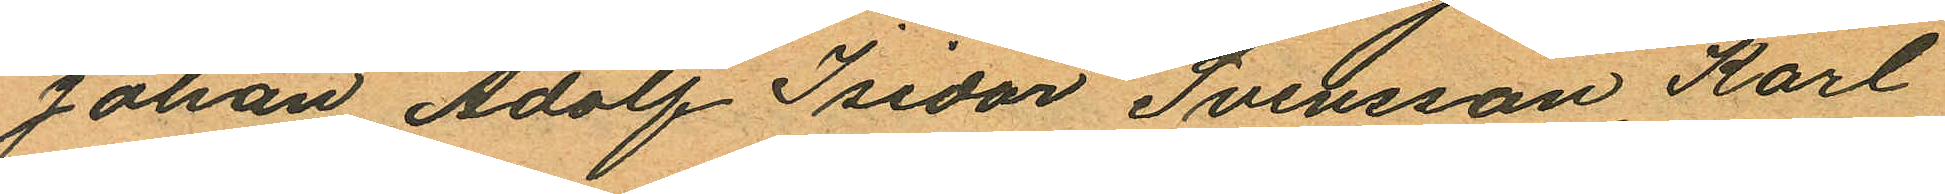Johan Adolf Isidor Svensson, Karl
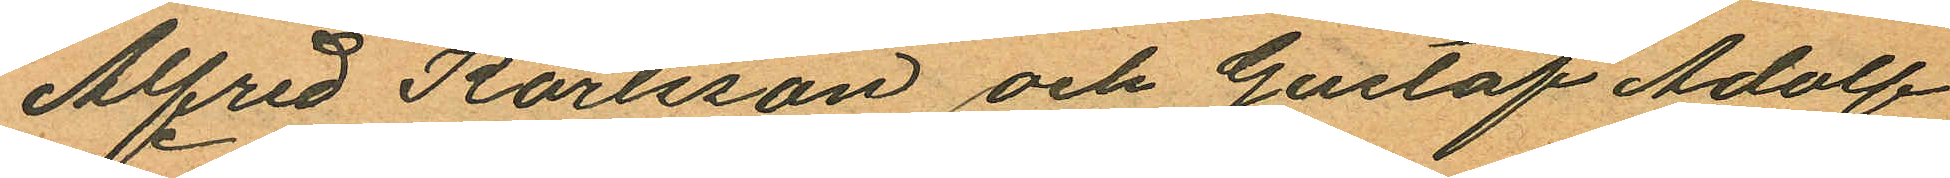Alfred Karlsson och Gustaf Adolf
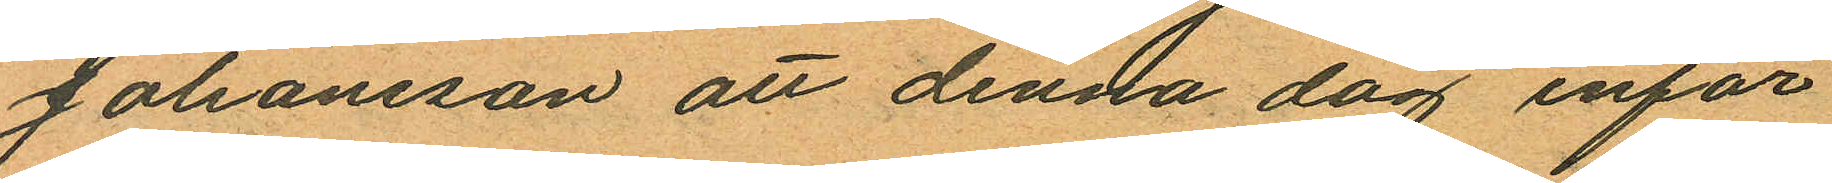Johansson att denna dag inför
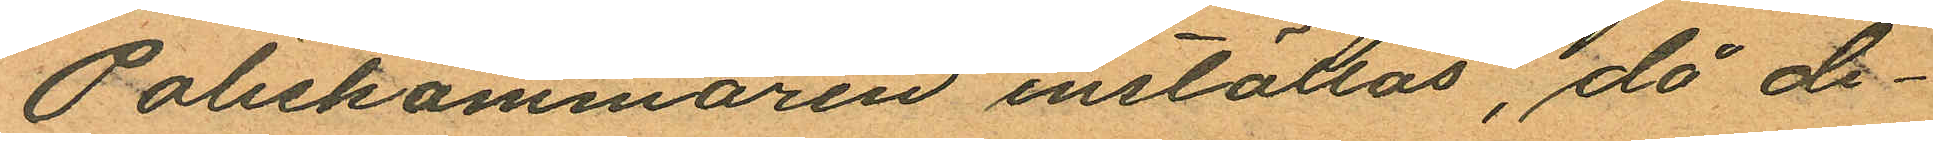Poliskammaren inställas, då de¬
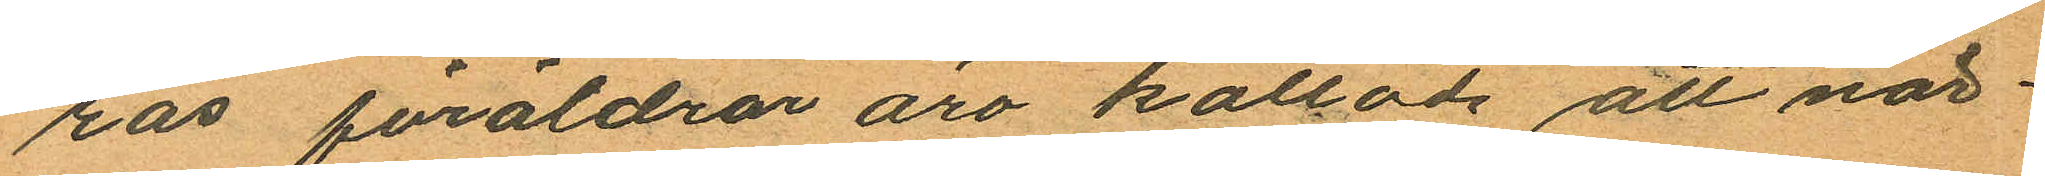ras föräldrar äro kallade att när¬
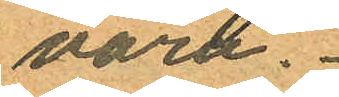vara.
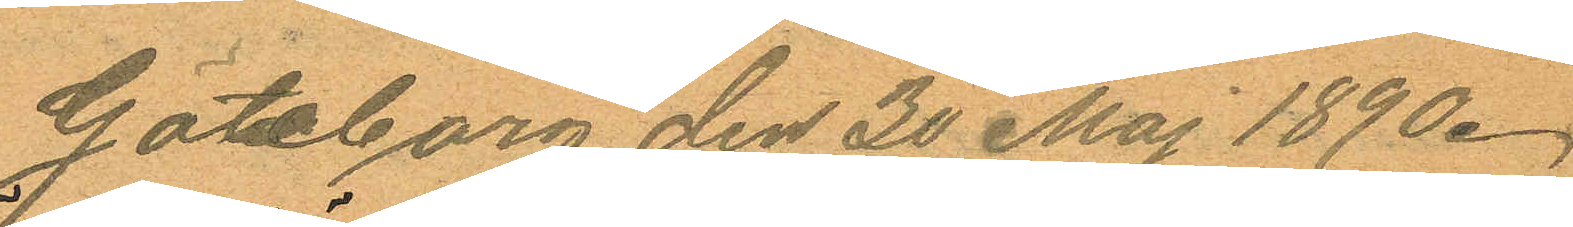Göteborg den 30 Maj 1890.
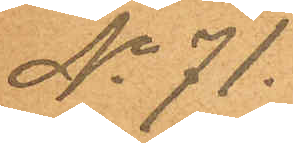No 71.
